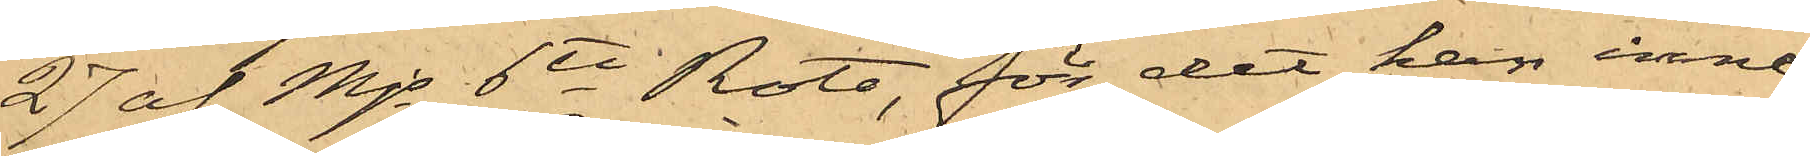27 af Mjs 6te Rote, för det han inne¬
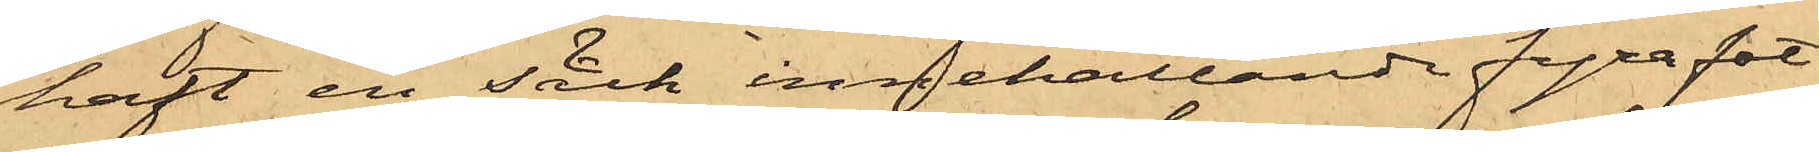haft en säck innehållande fyra fot
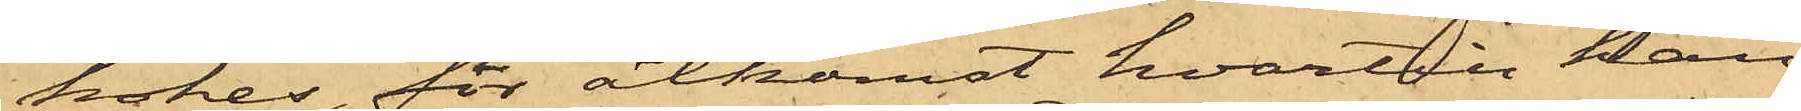kokes, för åtkomst hvartill han
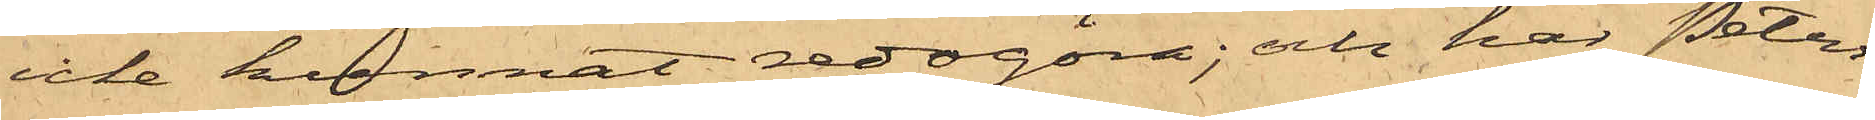icke kunnat redogöra; och har Peters¬
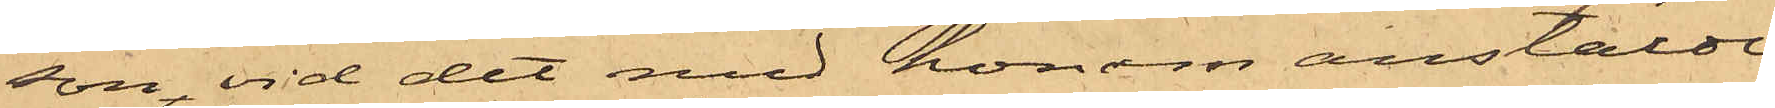son, vid det med honom anstälde
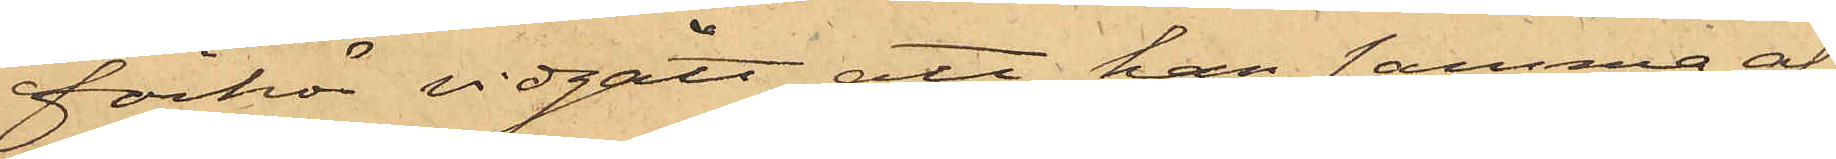förhör vidgått, att han samma af¬
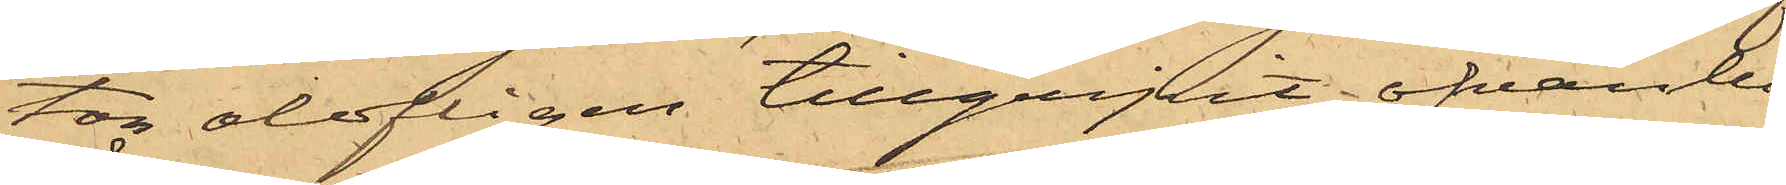ton olofligen tillgripit ofvanbe¬
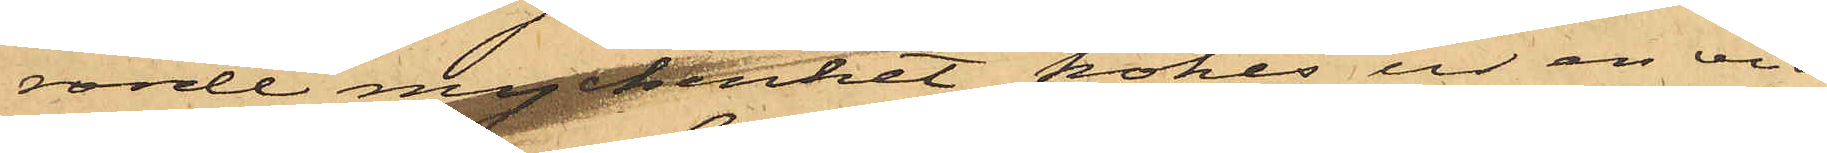rörde myckenhet kokes ur en vid
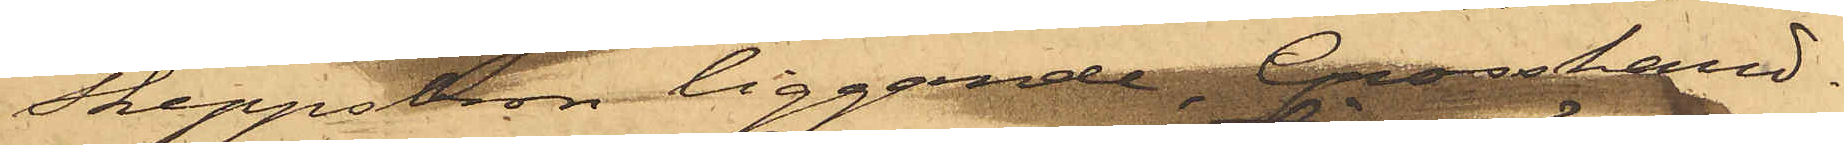Skeppsbron liggande, Grosshand¬
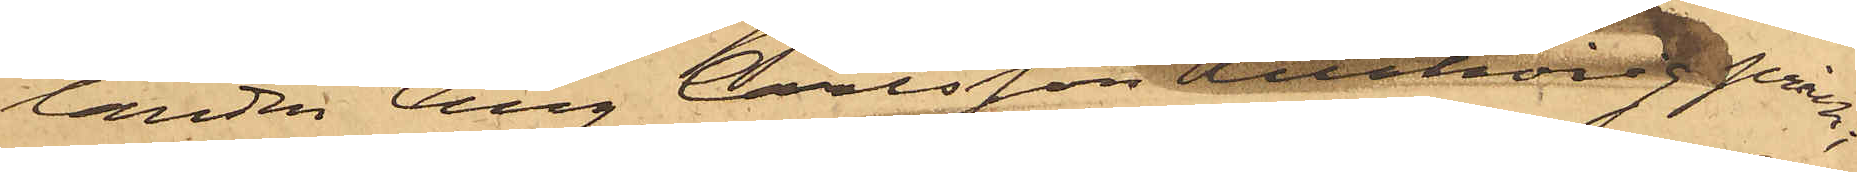landen Aug Carlsson tillhörig pråm;
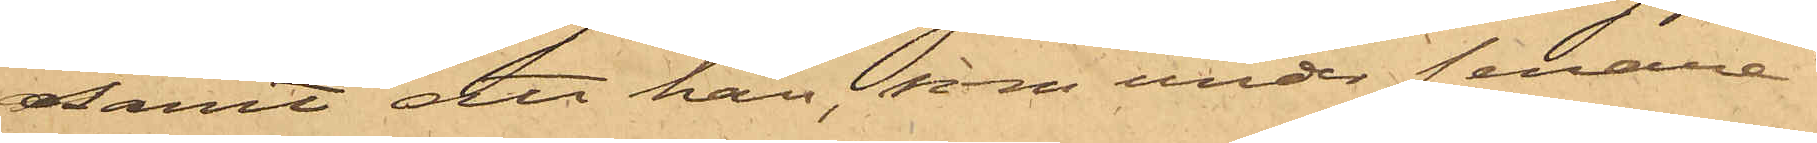Samt att han, som under senare
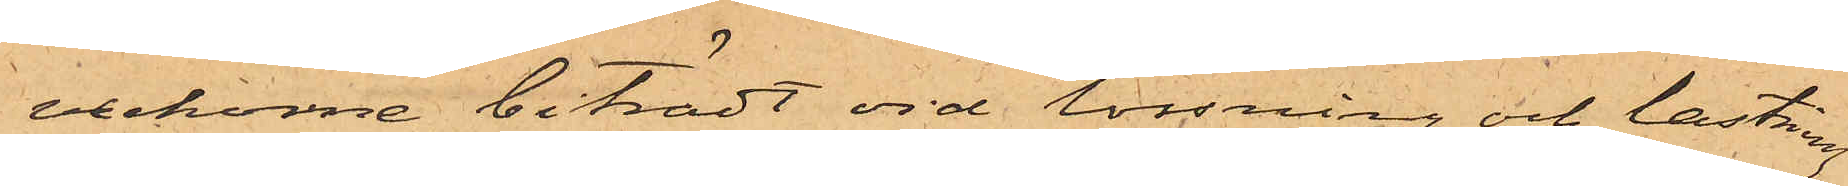veckorne biträdt vid lossning och lastning
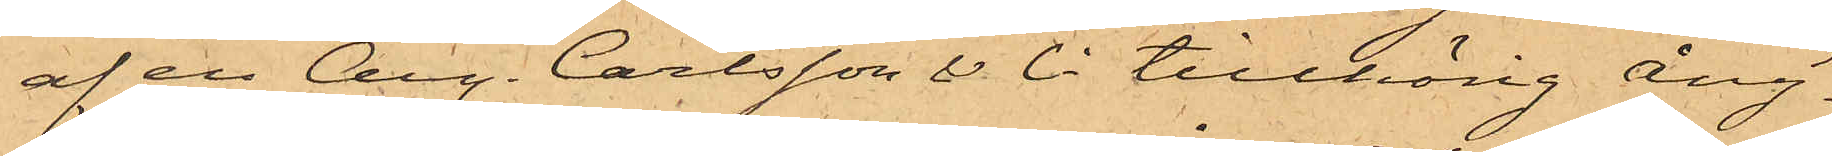af en Aug. Carlsson & Ci tillhörig Ång¬
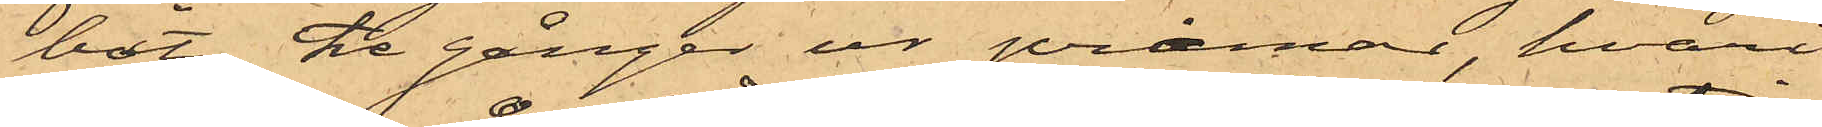båt, tre gånger ur pråmar, hvari
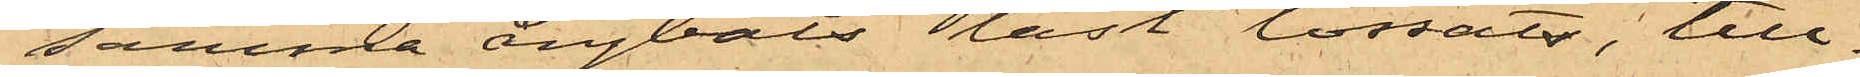samma Ångbåts last lossats, till¬
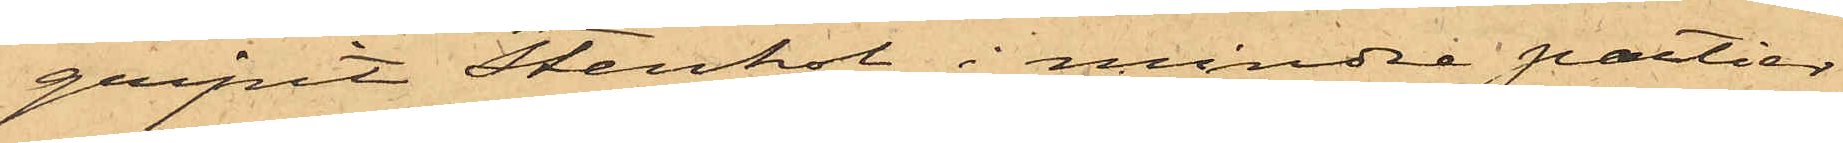gripit Stenkol i mindre partier,
